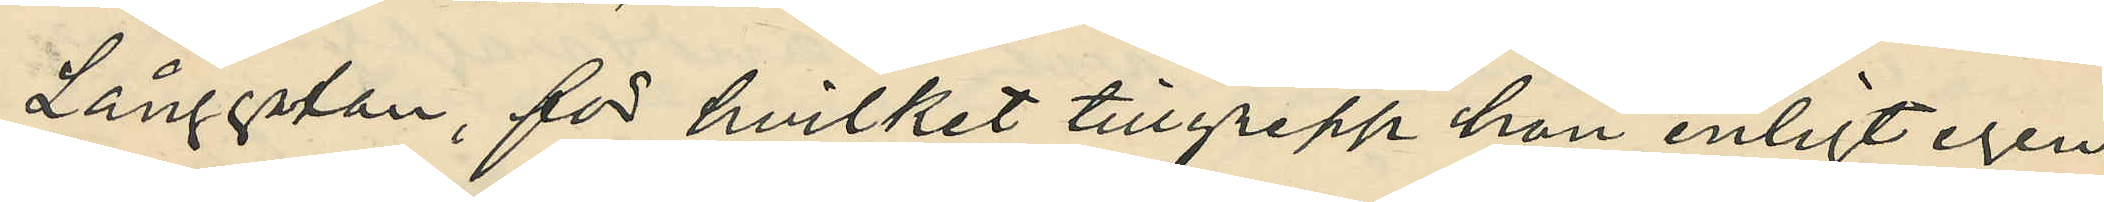Långgatan, för hvilket tillgrepp hon enligt egen
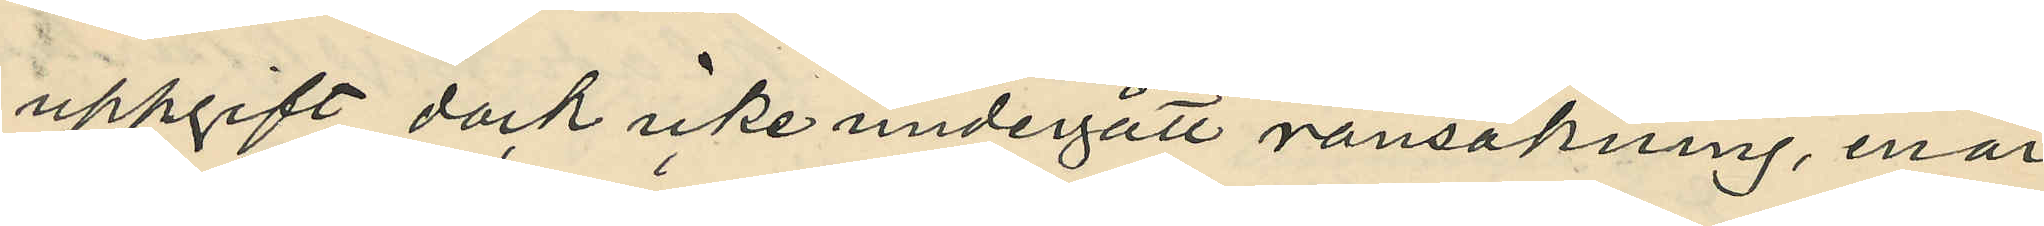uppgift dock icke undergått ransakning, enär
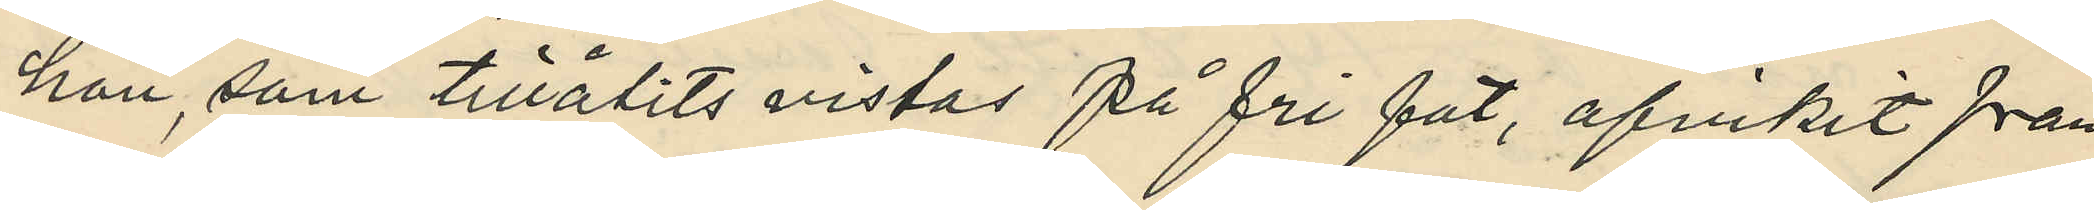hon, som tillålits vistas på fri fot, afvikit från
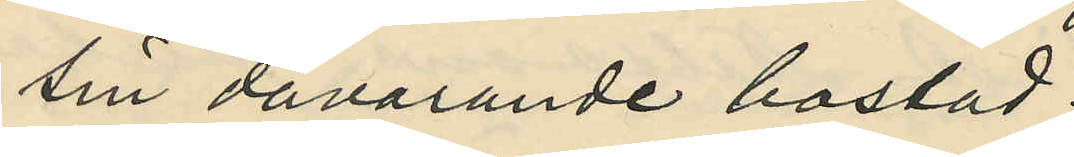sin dåvarande bostad.
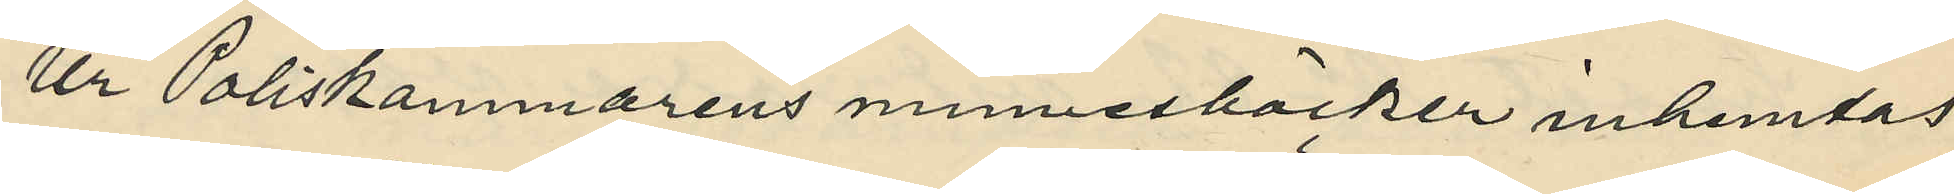Ur Poliskammarens minnesböcker inhemtas
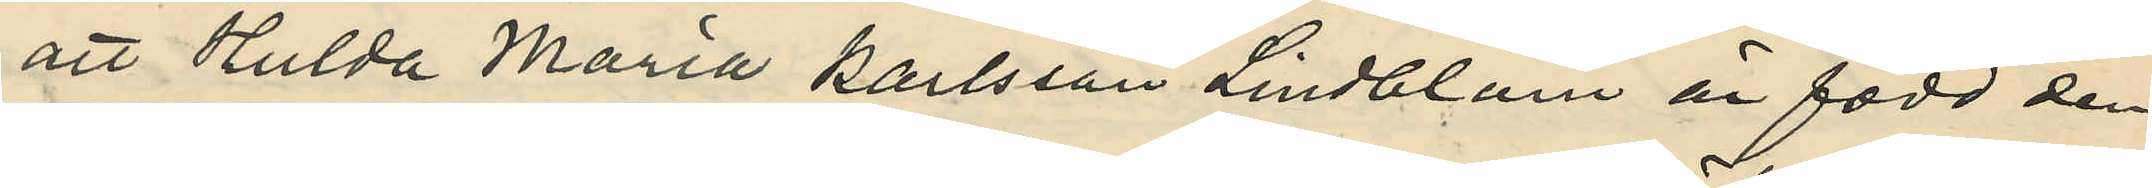att Hulda Maria Karlsson Lindblom är född den
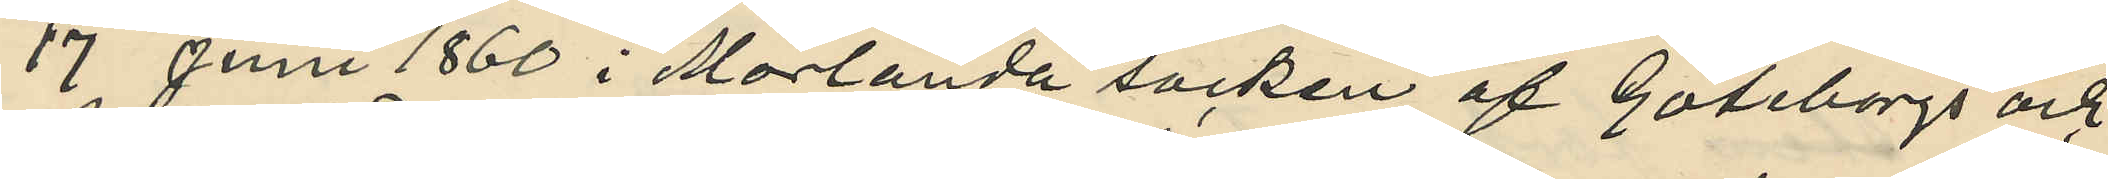17 Juni 1860 i Morlanda socken af Göteborgs och
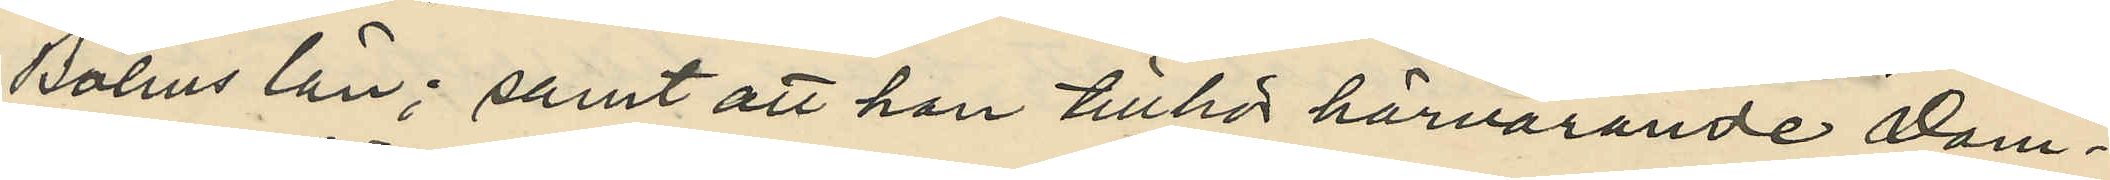Bohus län; samt att han tillhör härvarande Dom¬
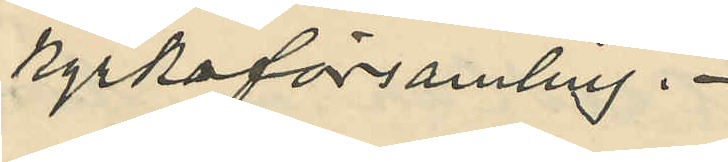kyrkoförsamling.
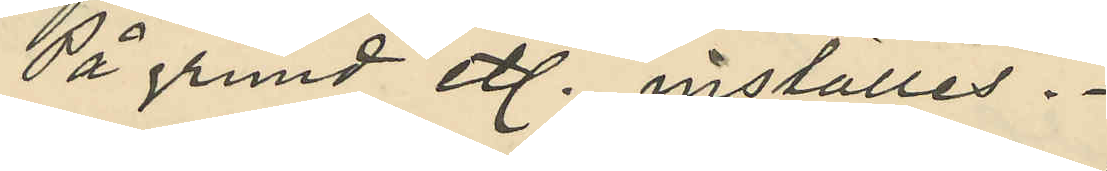På grund etc. inställes.
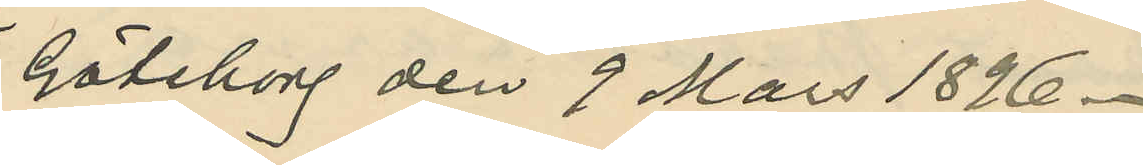Göteborg den 9 Mars 1896.
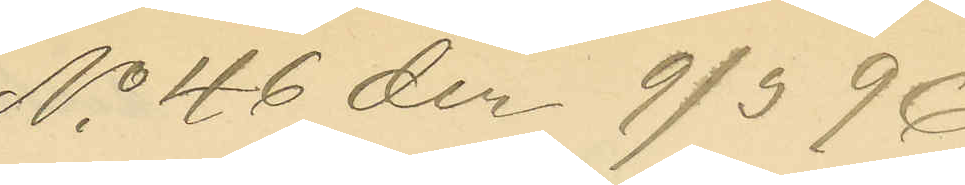No 46 den 9/3 96.
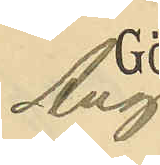Aug
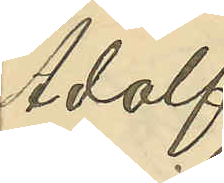Adolf
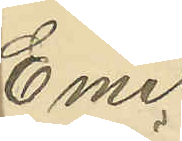Emil
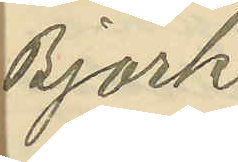Björk¬
